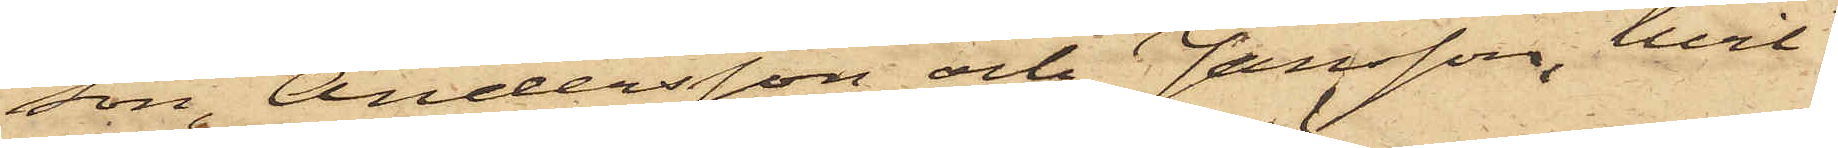son, Andersson och Jansson, hvil¬
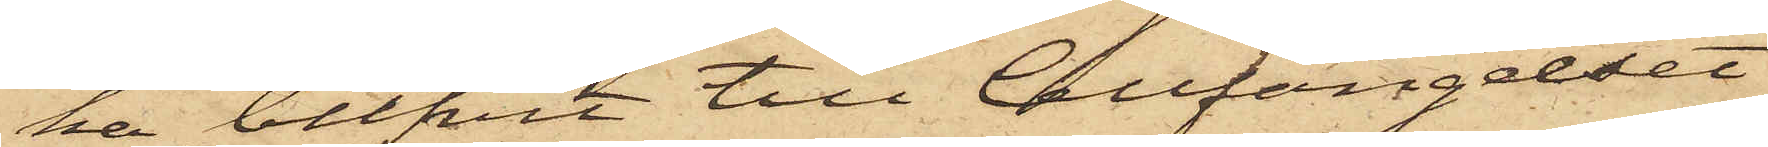ka blifvit till Cellfängelset
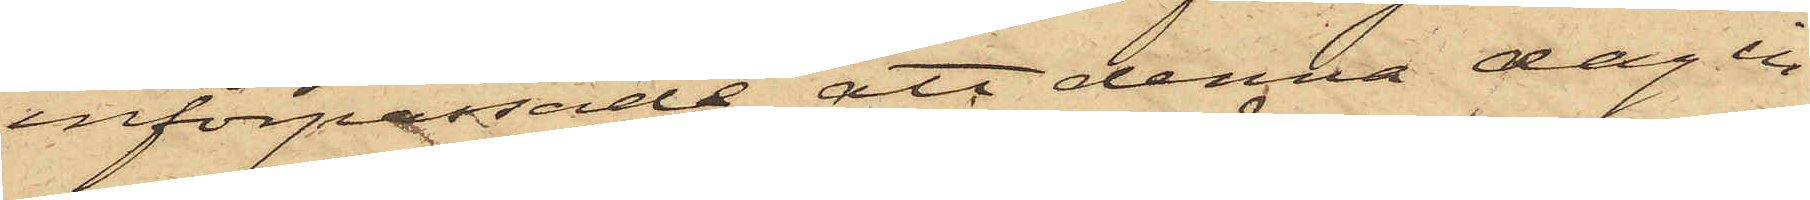införpassade, att denna dag in¬
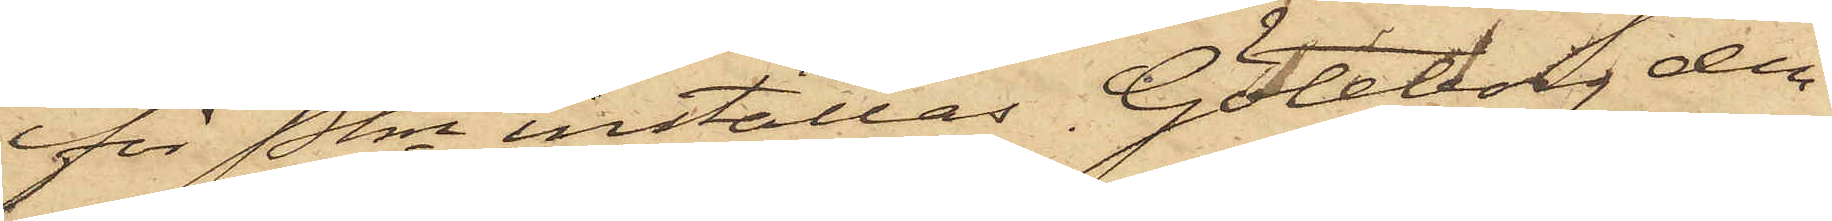för Pkn inställas. Göteborg den
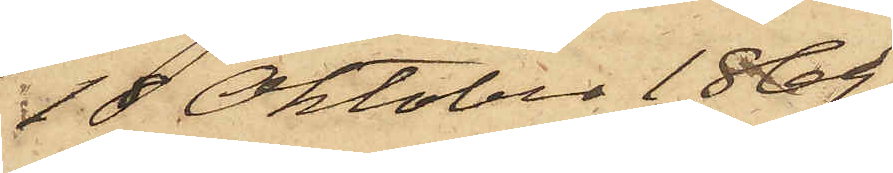18 Oktober 1869.
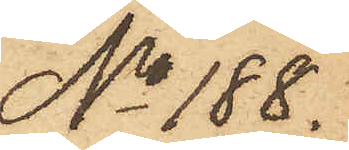No 188.
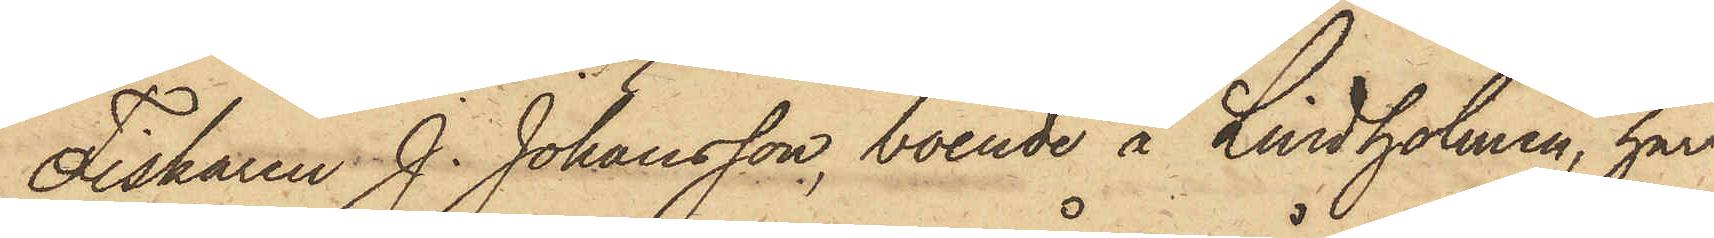Fiskaren J. Johansson, boende å Lindholmen, har
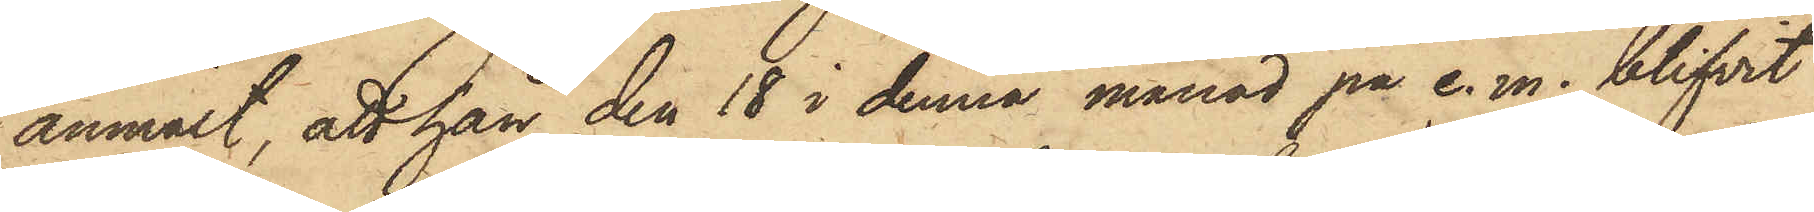anmält, att han den 18 i denna månad på e. m. blifvit
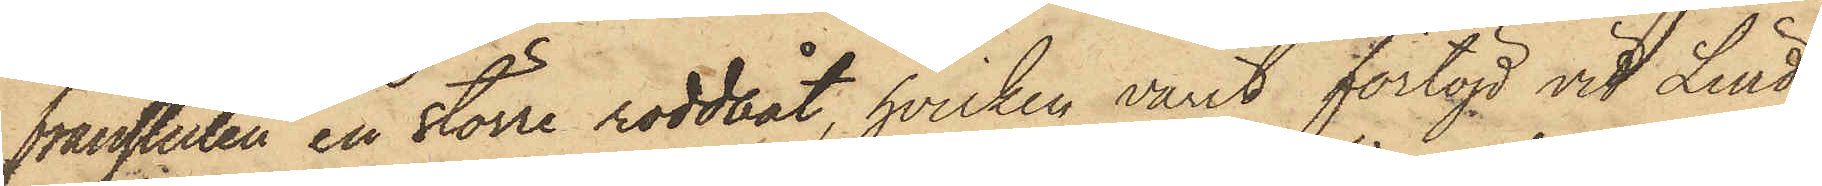frånstulen en större roddbåt, hvilken varit förtöjd vid Lind¬
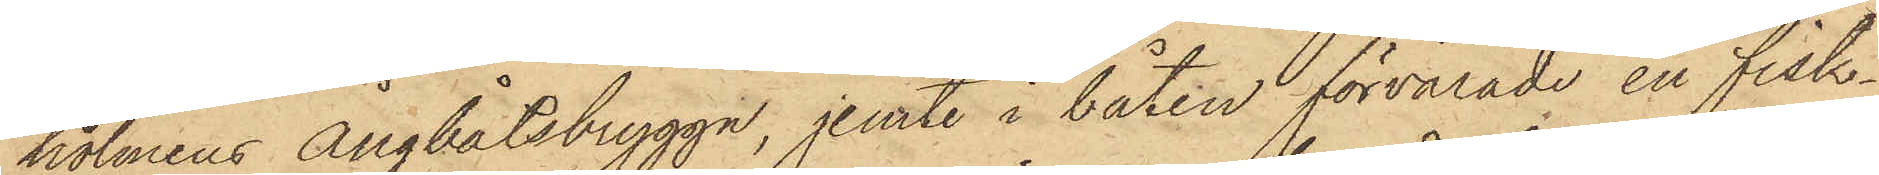holmens Ångbåtsbrygga, jemte i båten förvarade en fisk¬
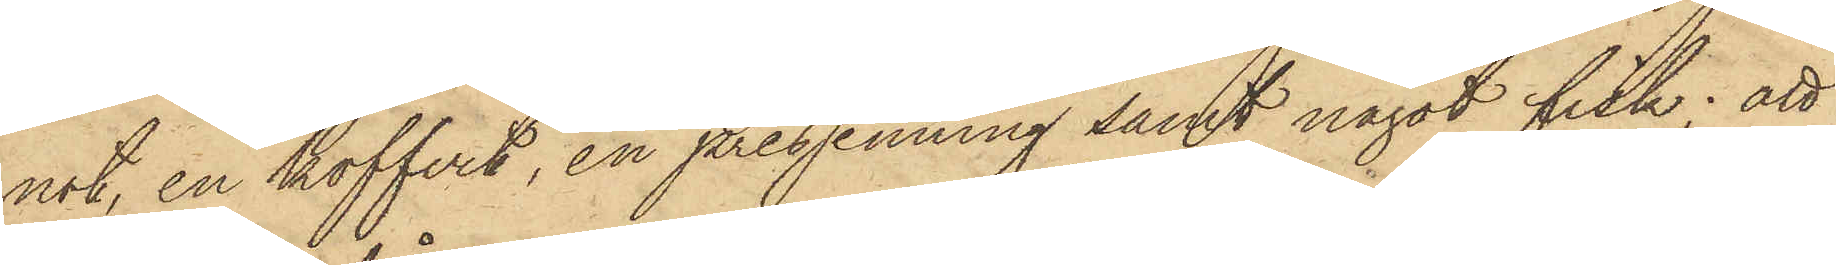not, en koffert, en pressenning samt något fisk; att
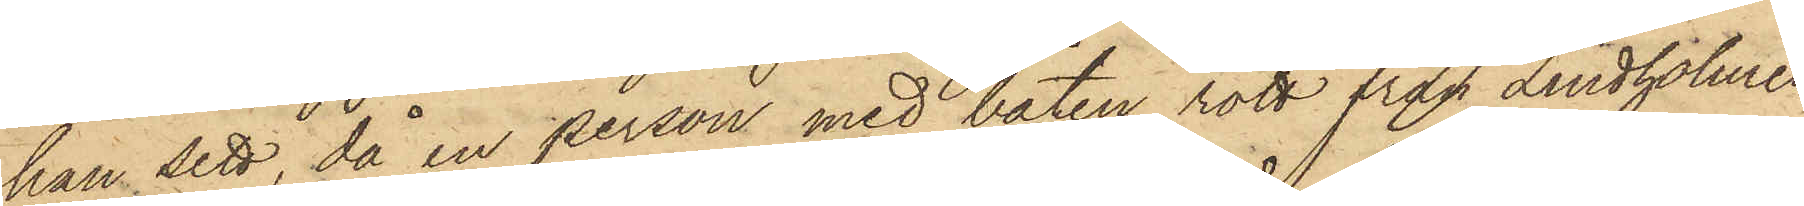han sett, då en person med båten rott från Lindholmen
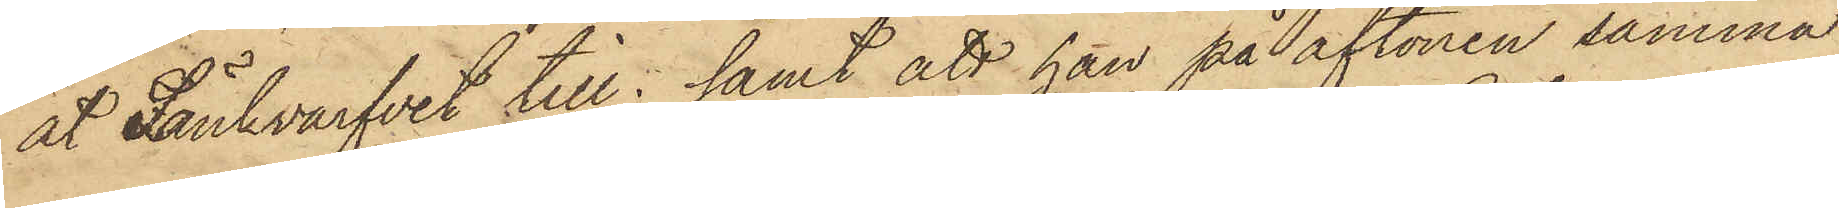åt Sänkvarfvet till; samt att han på aftonen samma
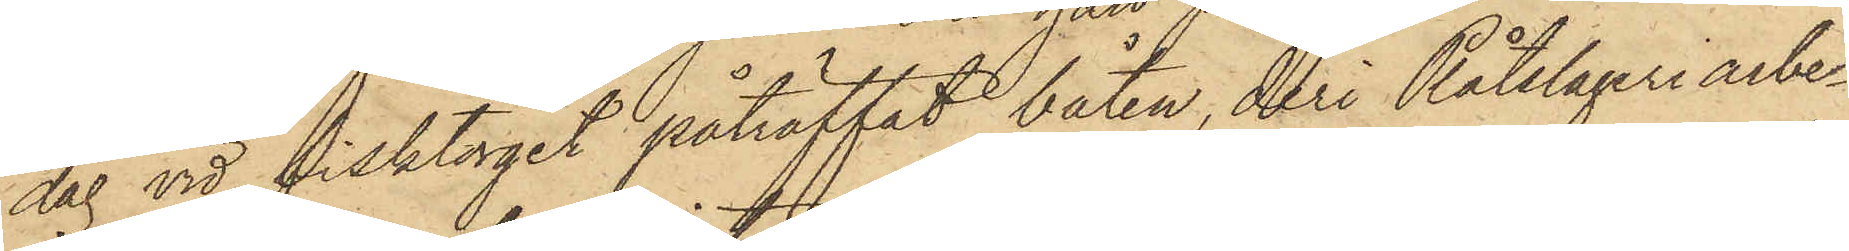dag vid Fisktorget påträffat båten, deri Plåtslageriarbe¬
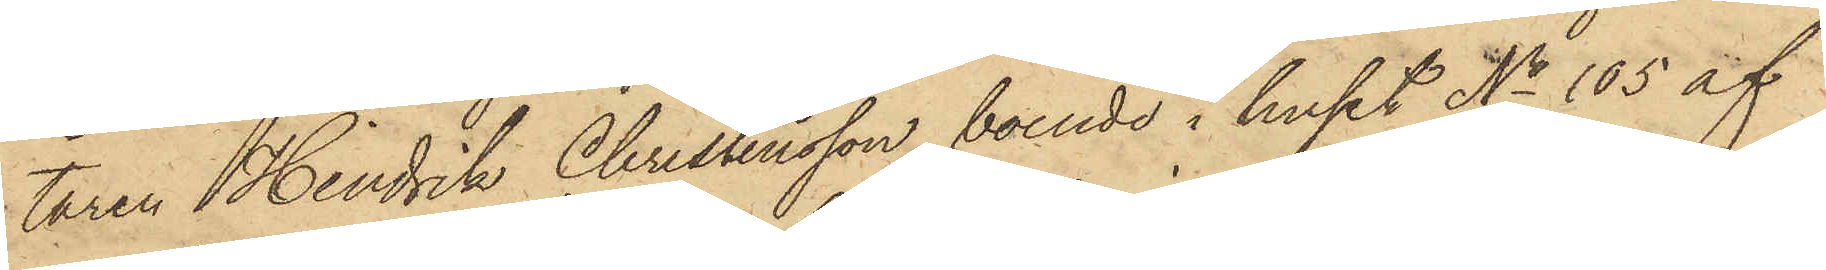taren Hindrik Christensson, boende i huset No 105 af
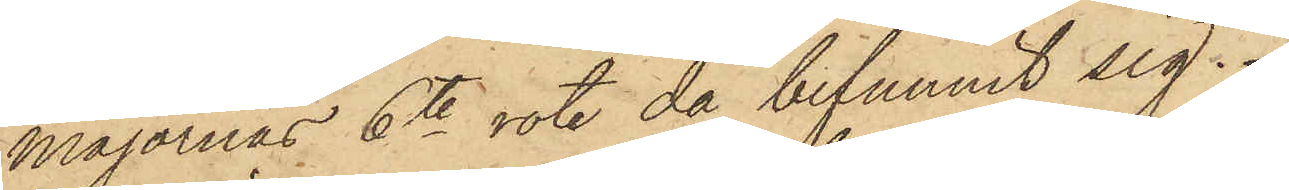Majornas 6te rote då befunnit sig.
